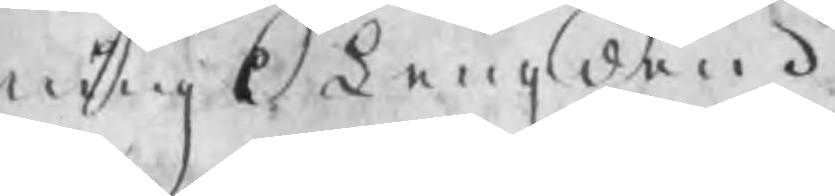nings Längden.
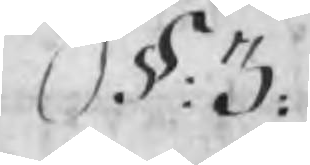§: 3:
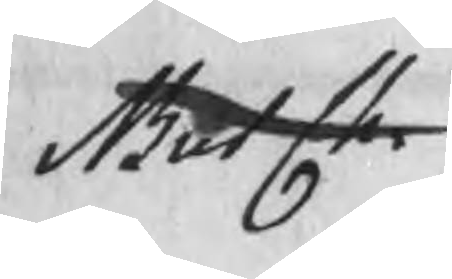But Ch.
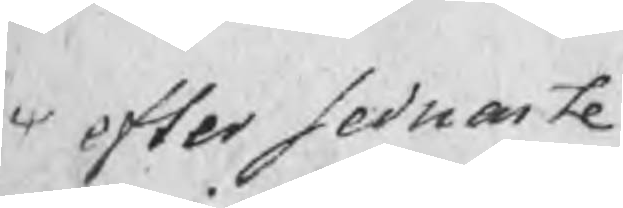efter sednaste
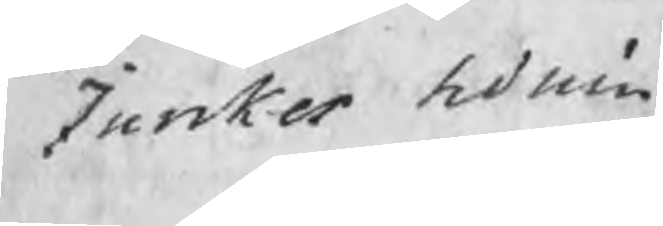Inrikes tidnin
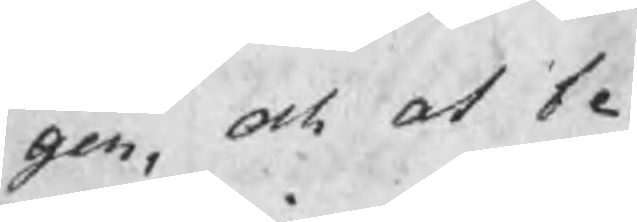gen, och at be
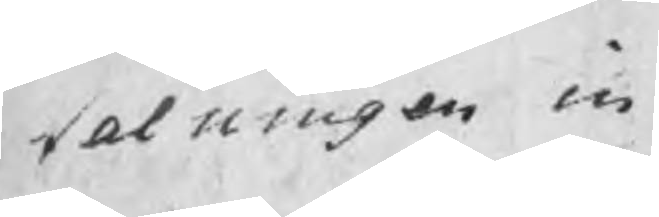talningen in
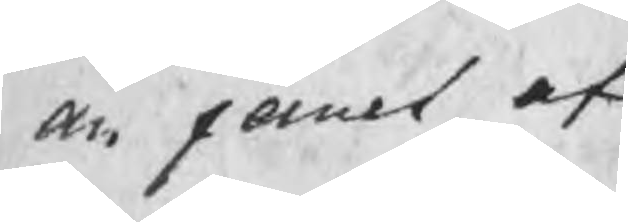an jernet af¬
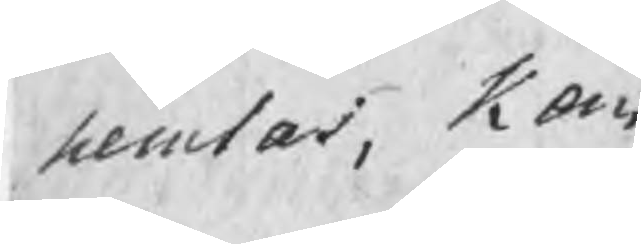hemtas, Kom
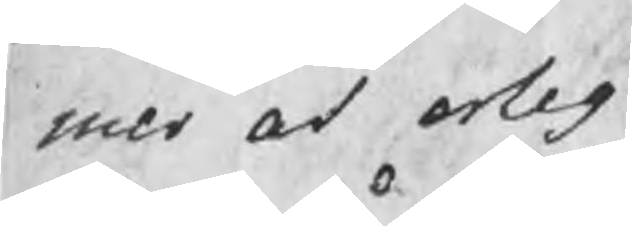mer at erleg¬
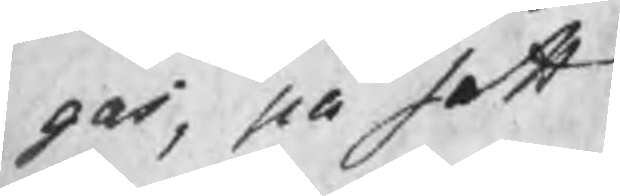gas, på sett
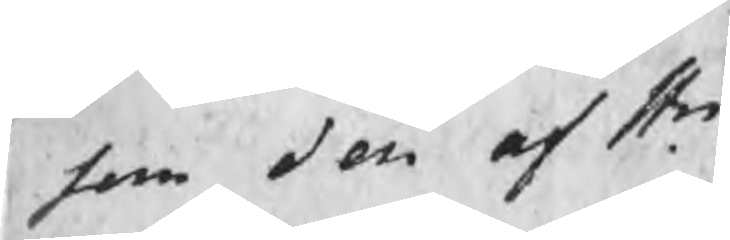som den af Hr
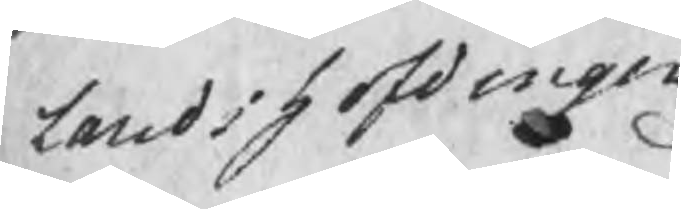Landshöfdingen
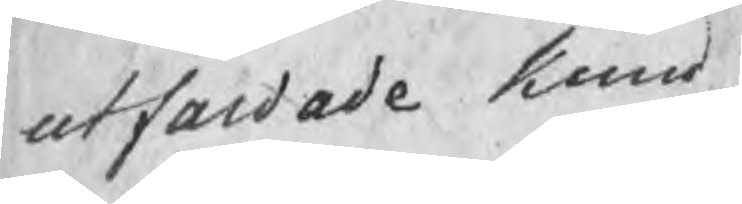utfardade kund
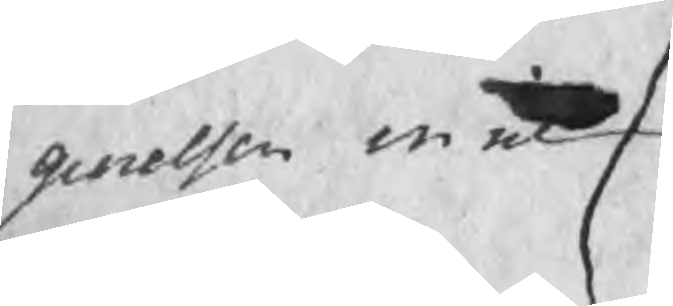giorelsen inne
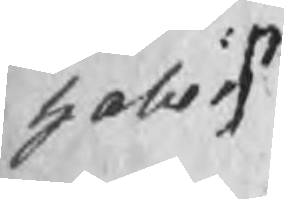holler.
